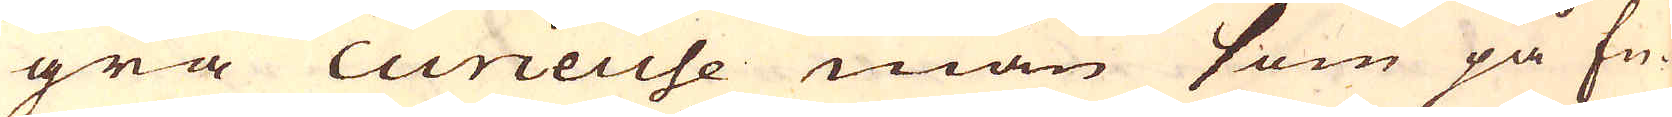gra curieuse män som på En-
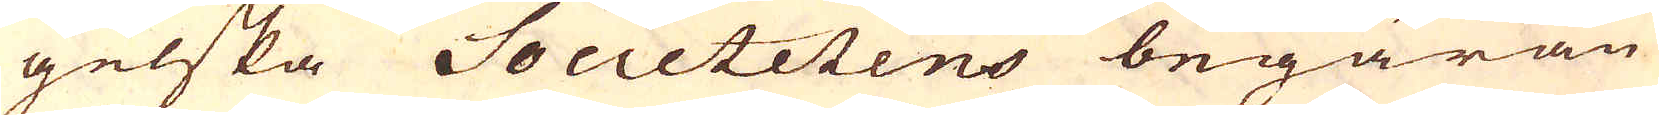gelska Societetens begäran
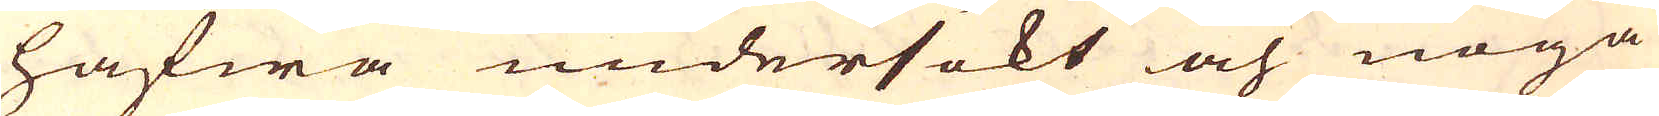hafwa undersökt och noga
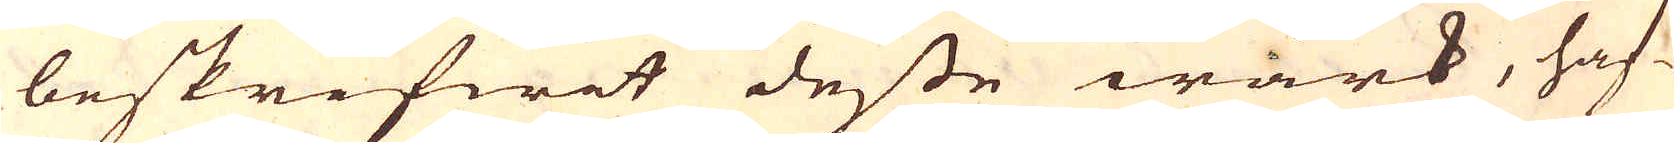beskrifwit desse wärk, haf-
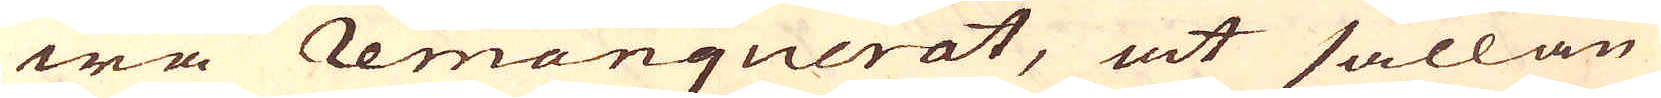wa Remanquerat, at sällan
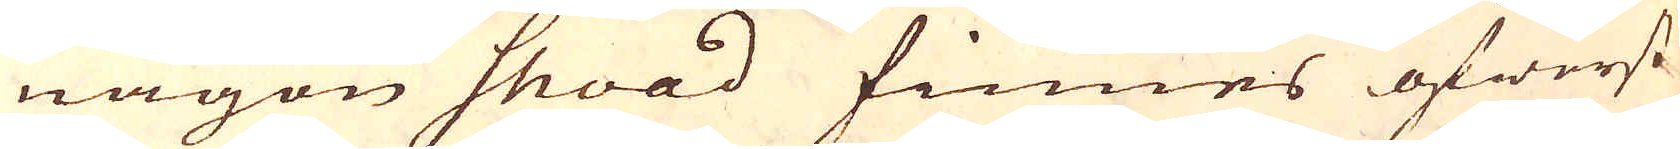någon shoad finnes öfwerst
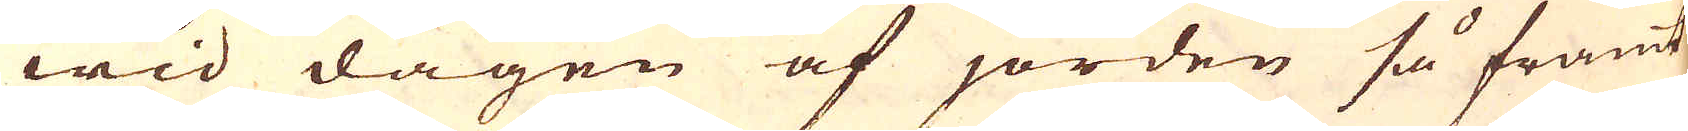wid dagen af jorden så framt
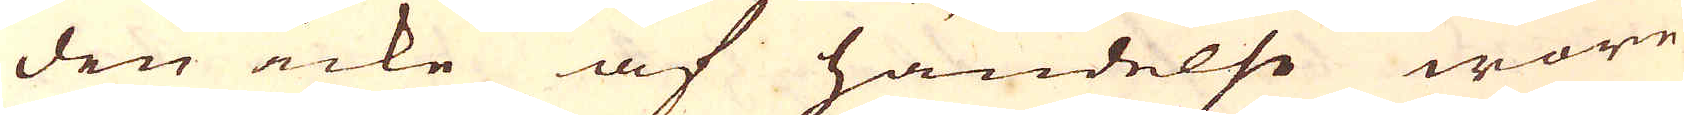den icke af händelse wore
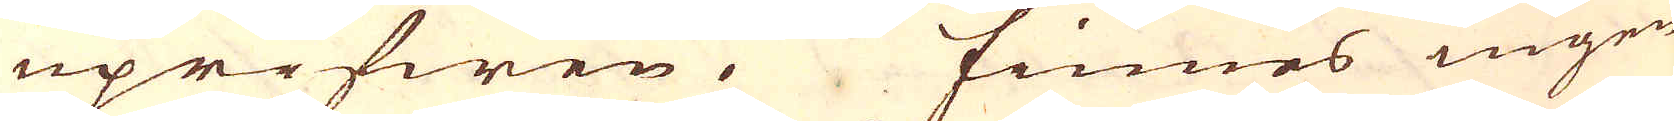uprifwen. Finnes ingen
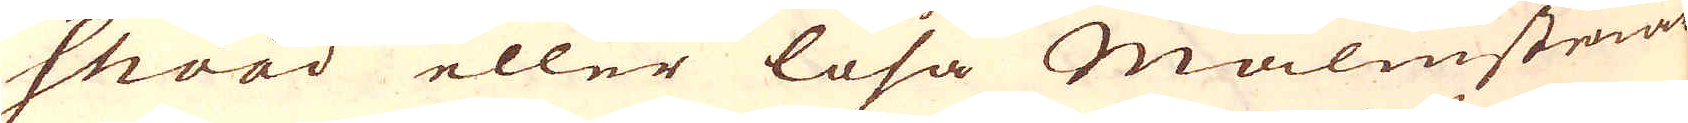shoad eller lösa Malmstenar
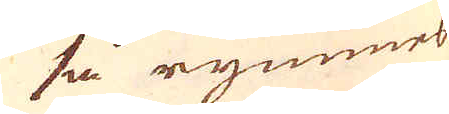så rymmes
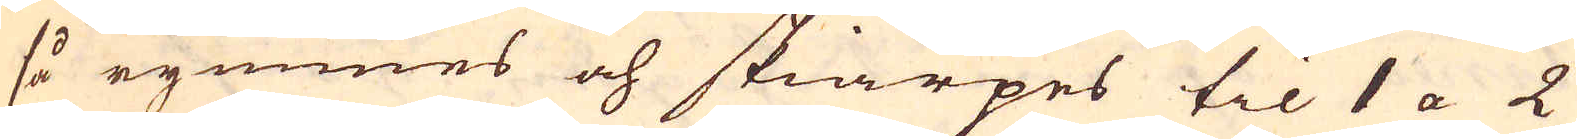så rymmes och skiärpes til 1 a 2
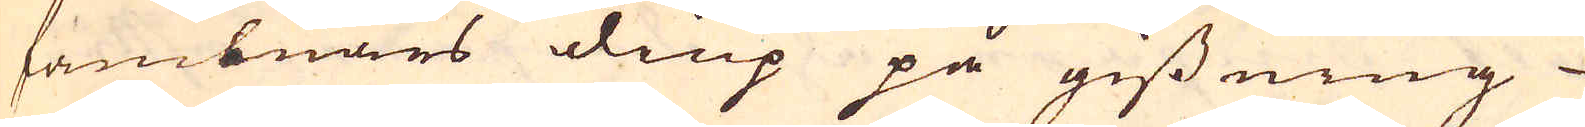fambnars diup på gissning
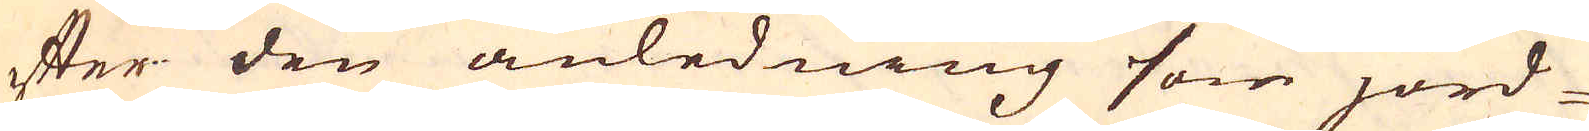efter den anledning som jord-
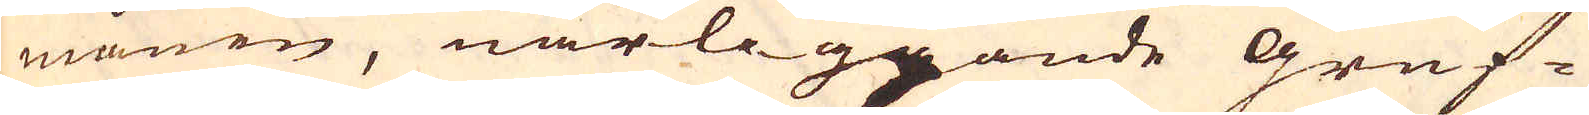månen, närliggande Gruf-
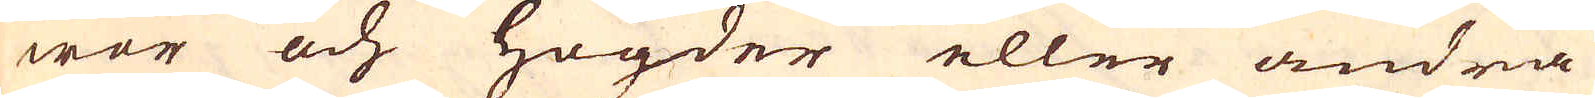wor och högder eller andra
